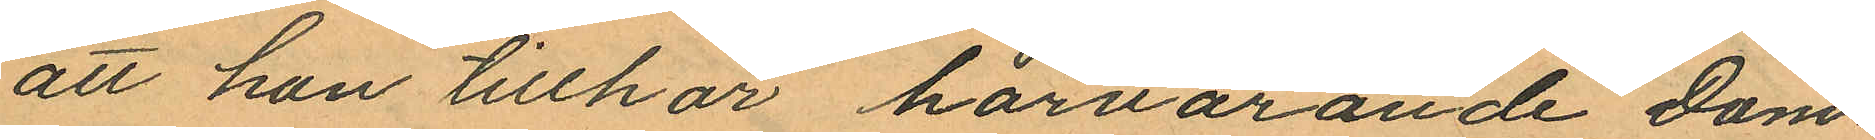att hon tillhör härvarande Dom¬
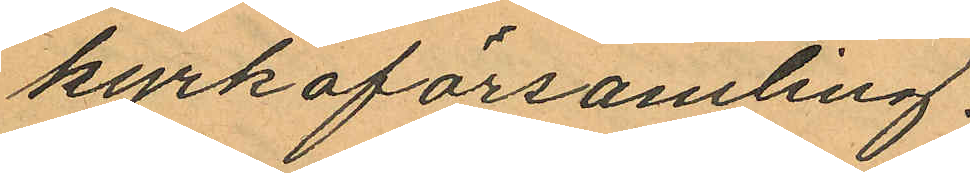kyrkoförsamling.
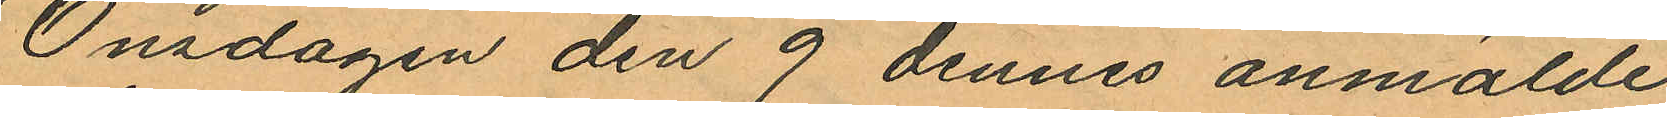Onsdagen den 9 dennes anmälde
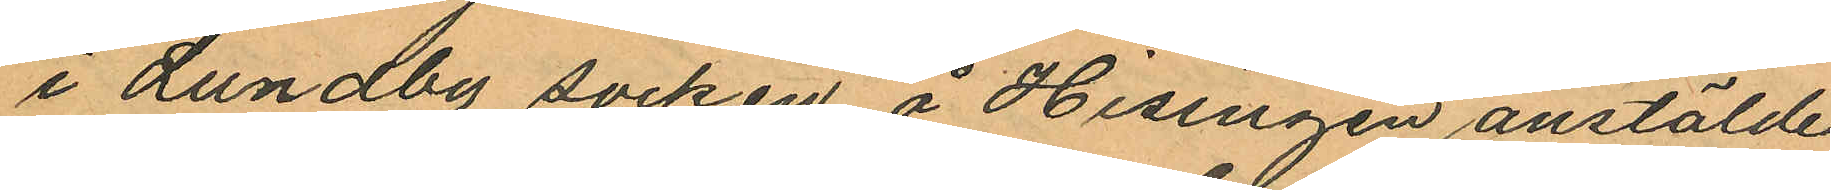i Lundby socken å Hisingen anstälde
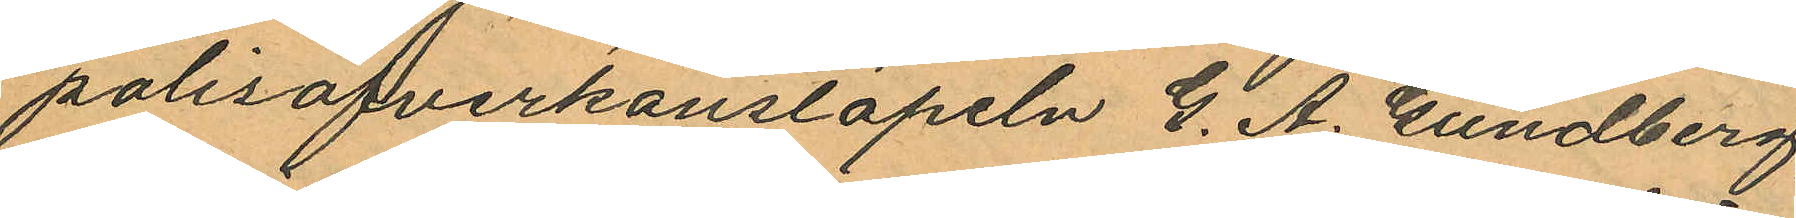polisöfverkonstapeln G. A. Gundberg
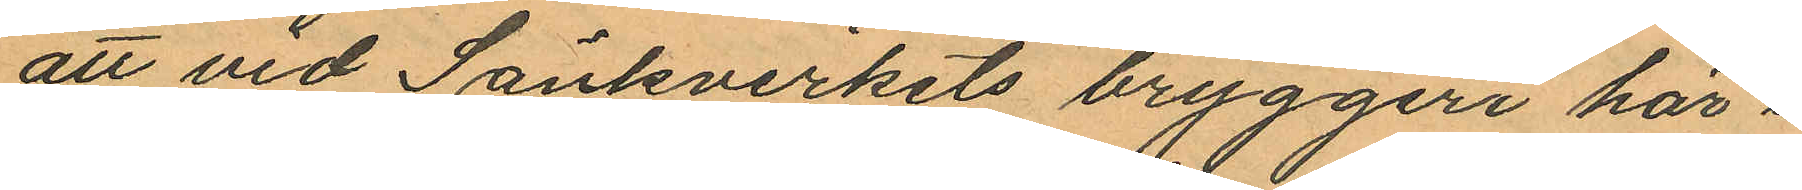att vid Sänkverkets bryggeri här i
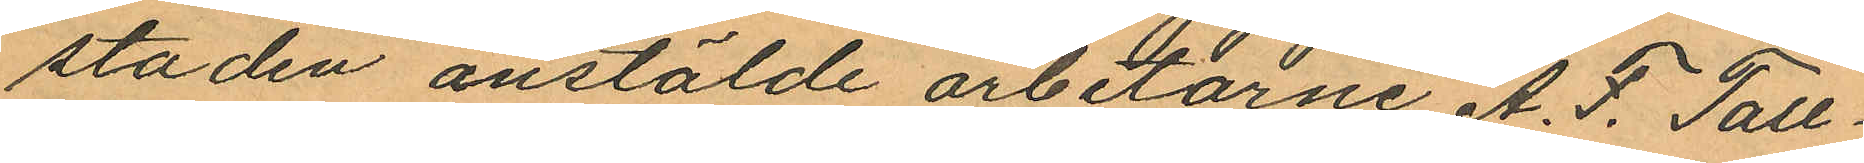staden anstälde arbetarne A. F. Tall
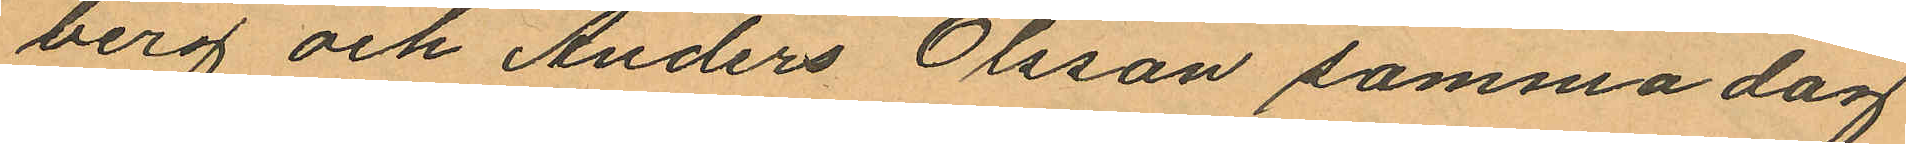berg och Anders Olsson samma dag
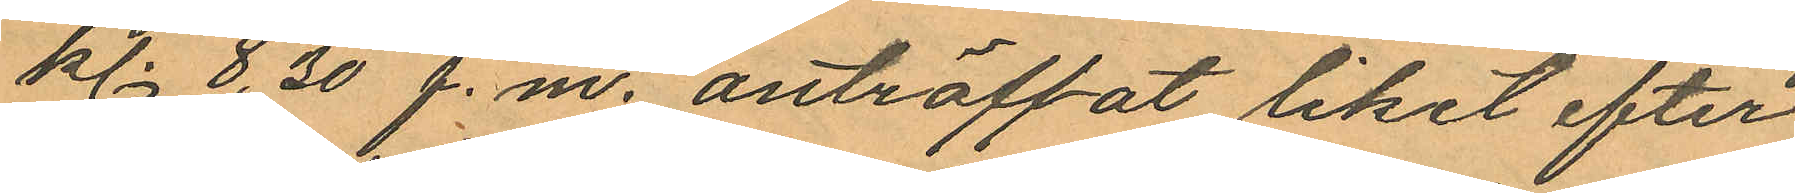kl. 8,30 f.m. anträffat liket efter
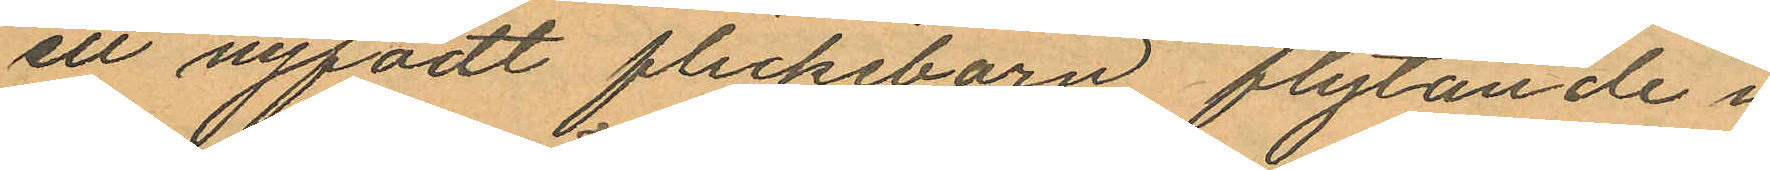ett nyfödt flickebarn flytande i
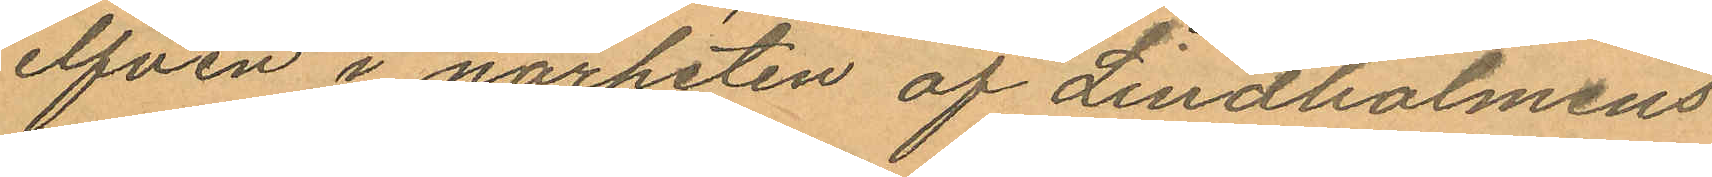elfven i närheten af Lindholmens
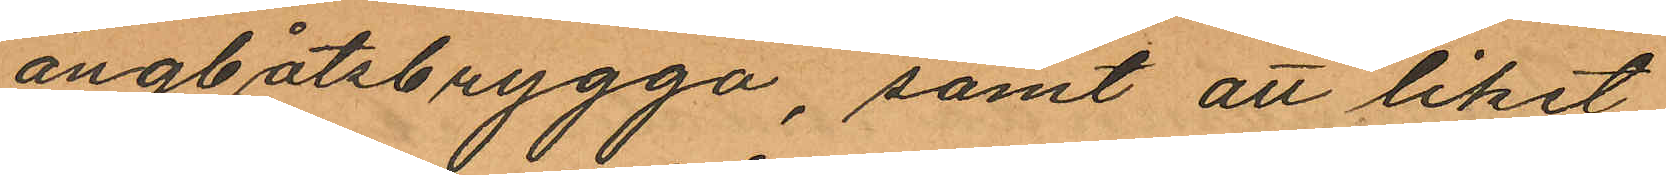ångbåtsbrygga, samt att liket,
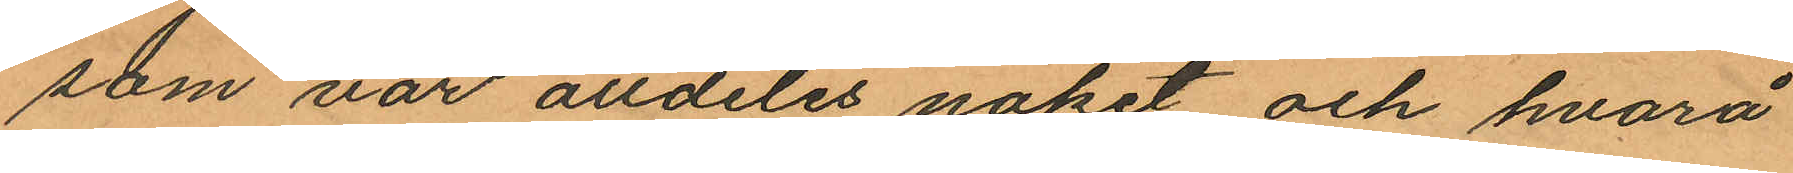som var alldeles naket och hvarå
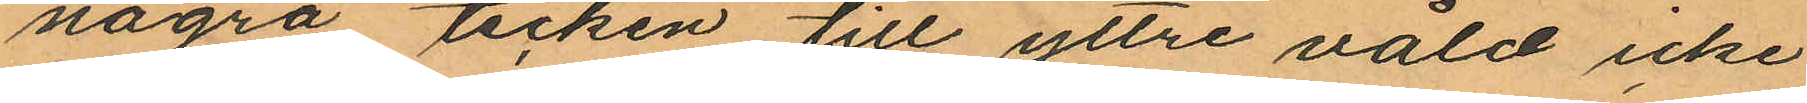några tecken till yttre våld icke
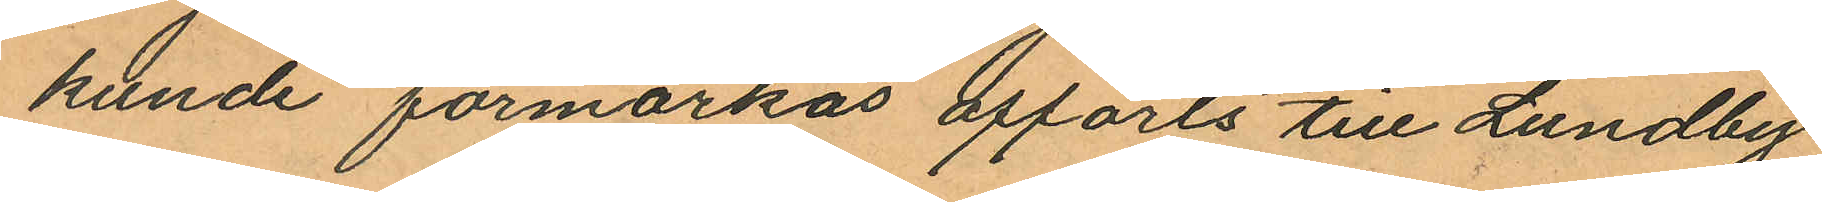kunde förmärkas afförts till Lundby
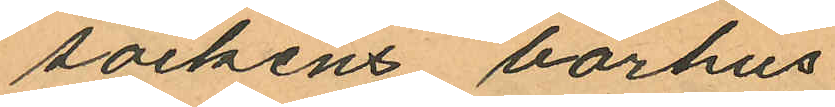sockens bårhus.
